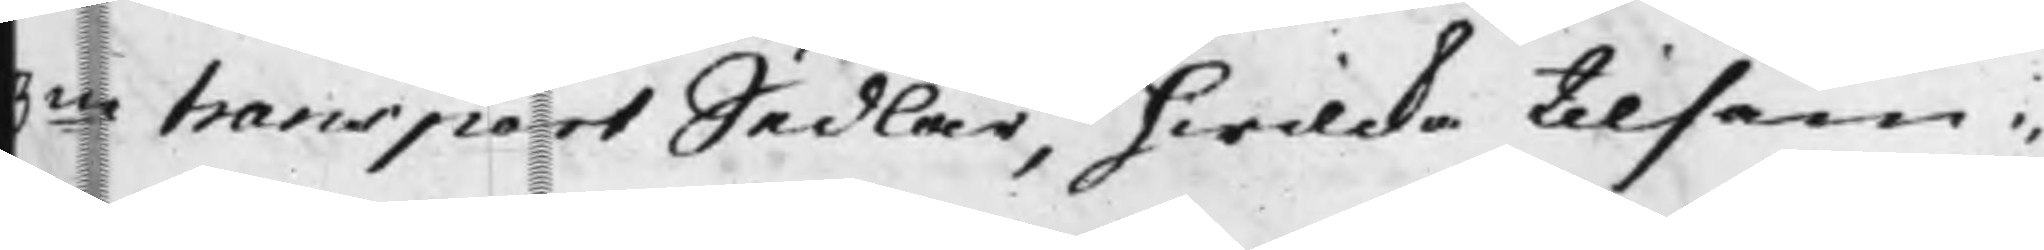3ne transport Sedlar, hwilcka tilsam¬
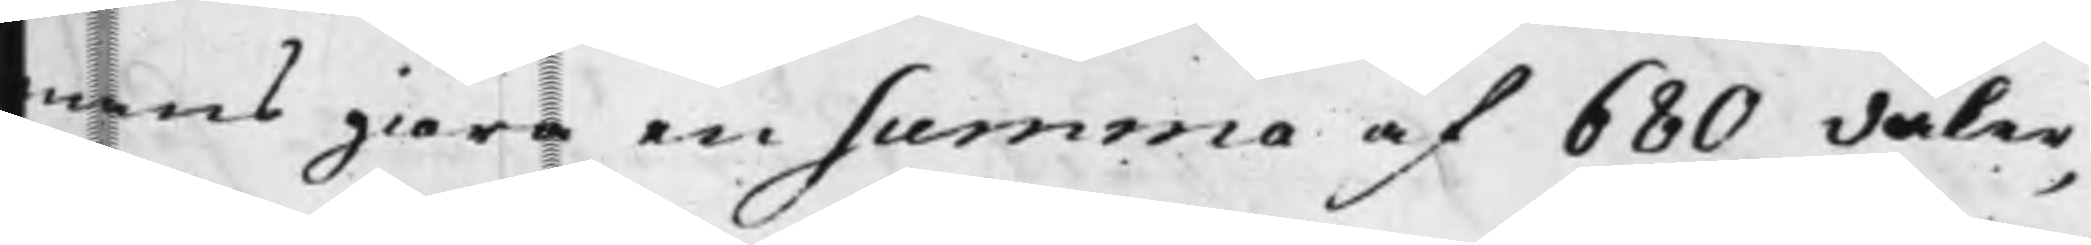mans giöra en summa af 680 daler,
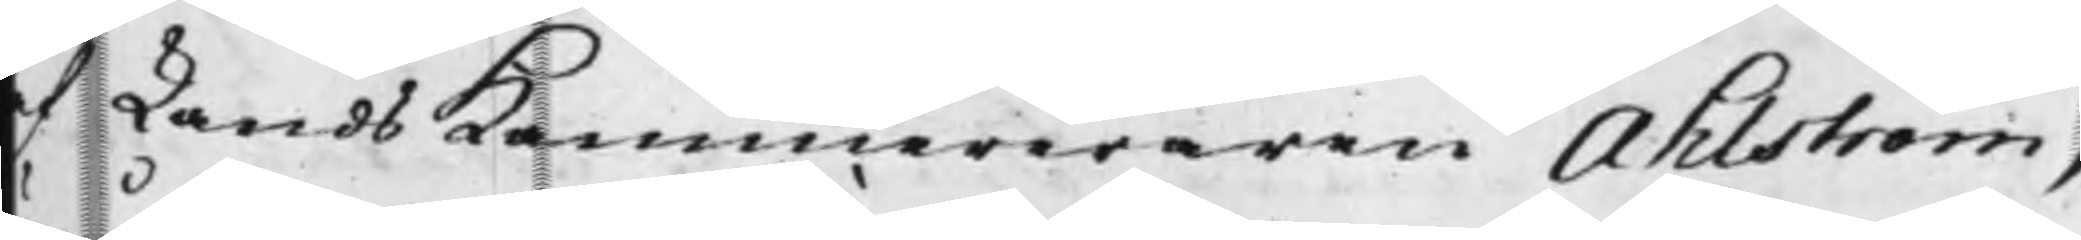af LandsKammereraren Ahlström,
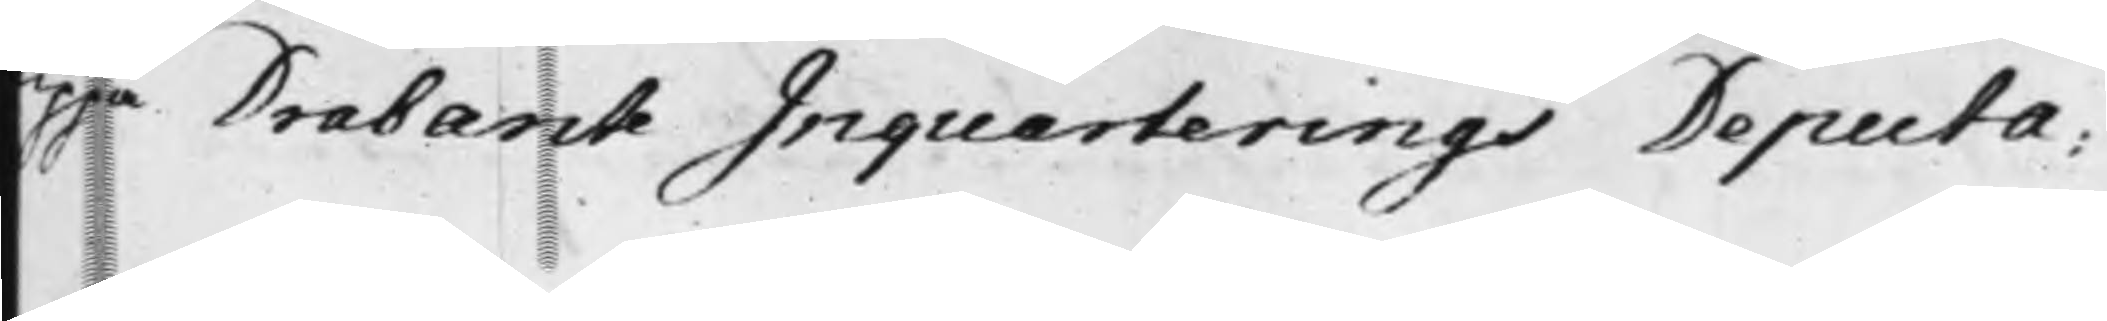uppå Drabante Inquarterings Deputa¬
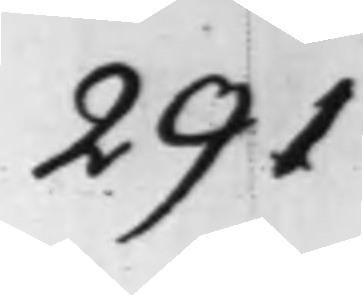291
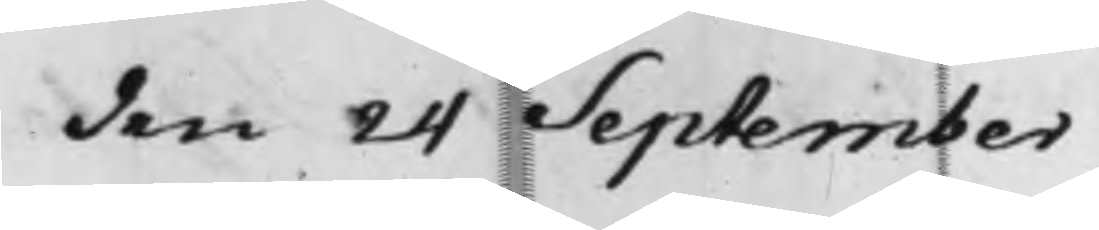den 24 September
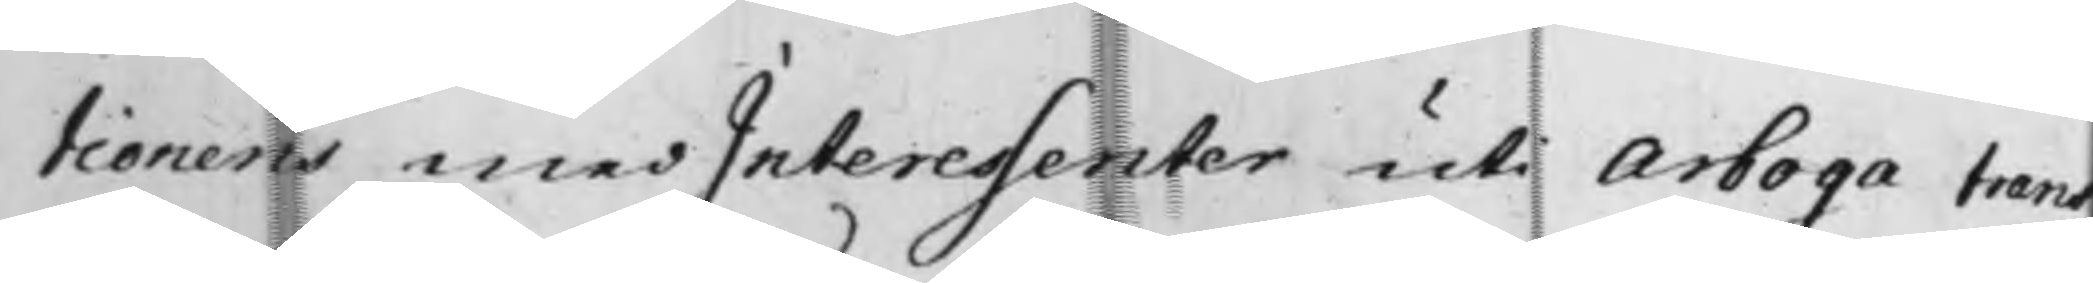tionens medInteressenter uti Arboga tran¬
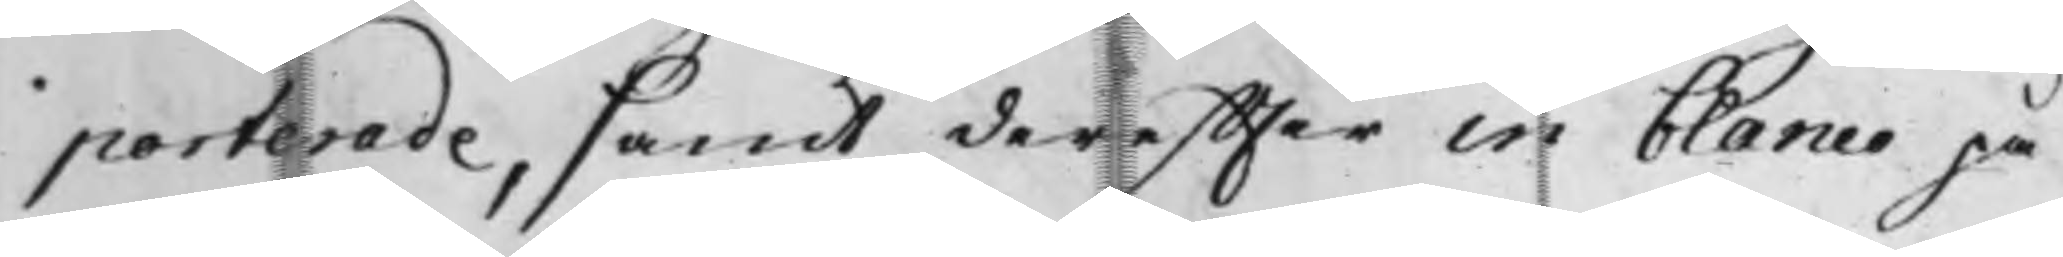porterade, samt dereffter in blanco på¬
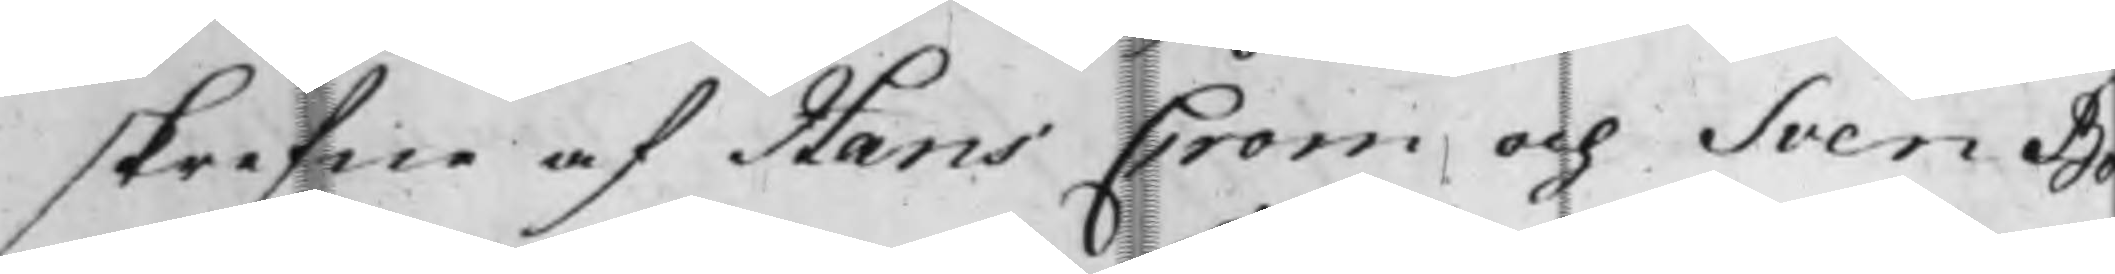skrifne af Hans Crom och Sven Bo¬
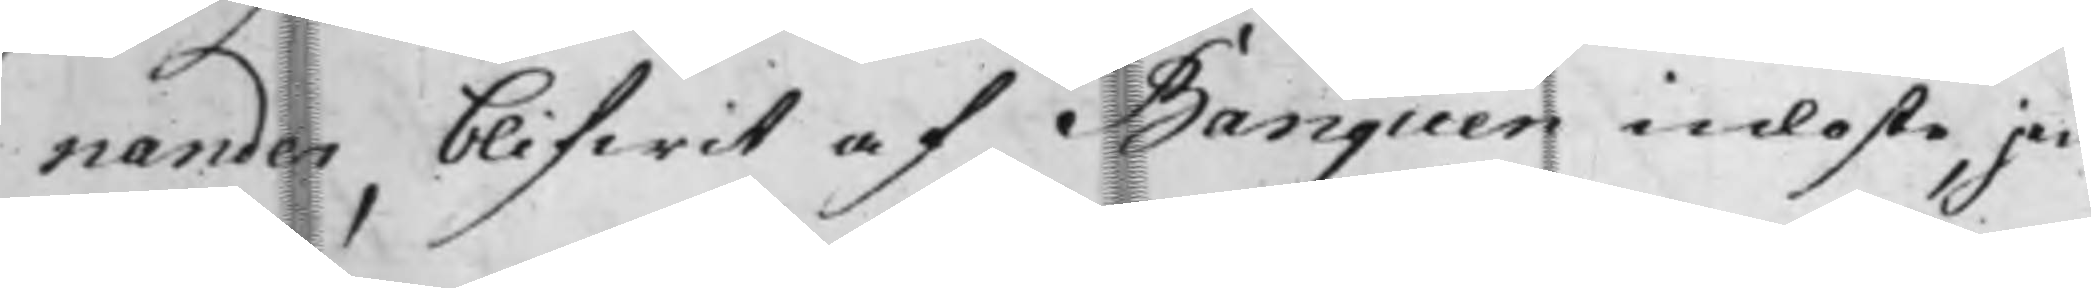nander, blifwit af Banquen inlöste, jem¬
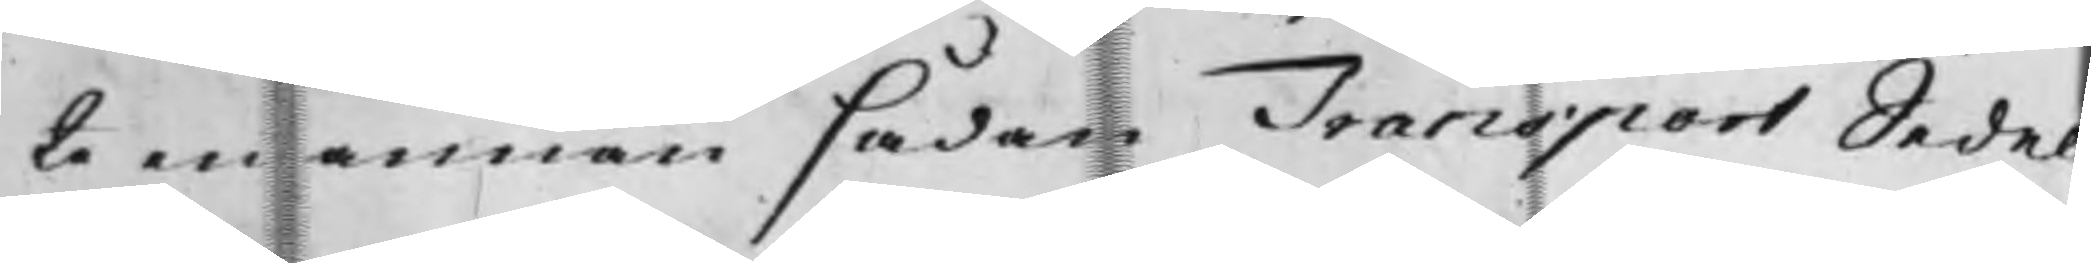te en annan sådan Transport Sedel
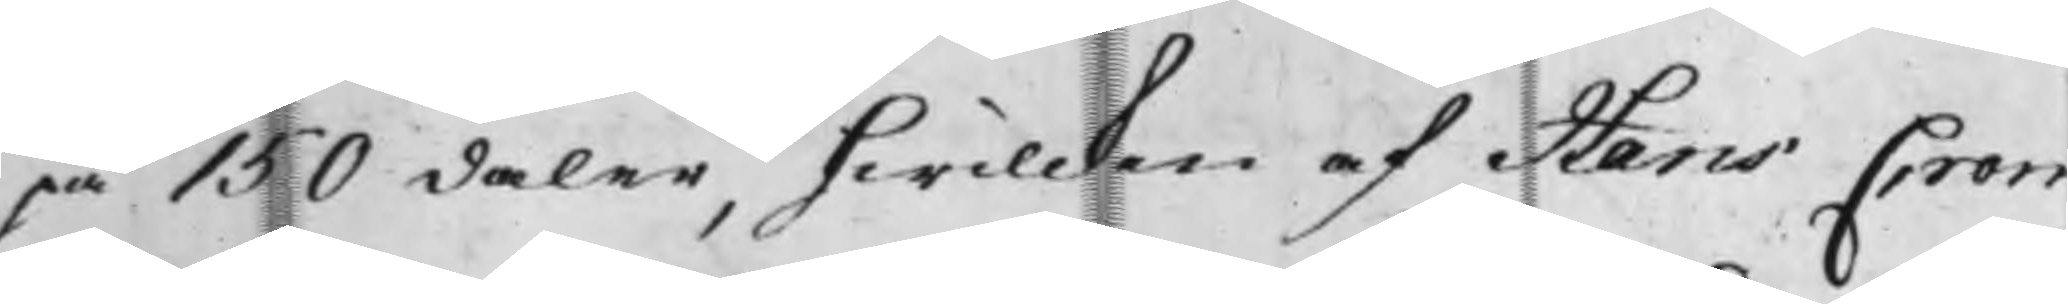på 150 daler, hwilcken af Hans Crom
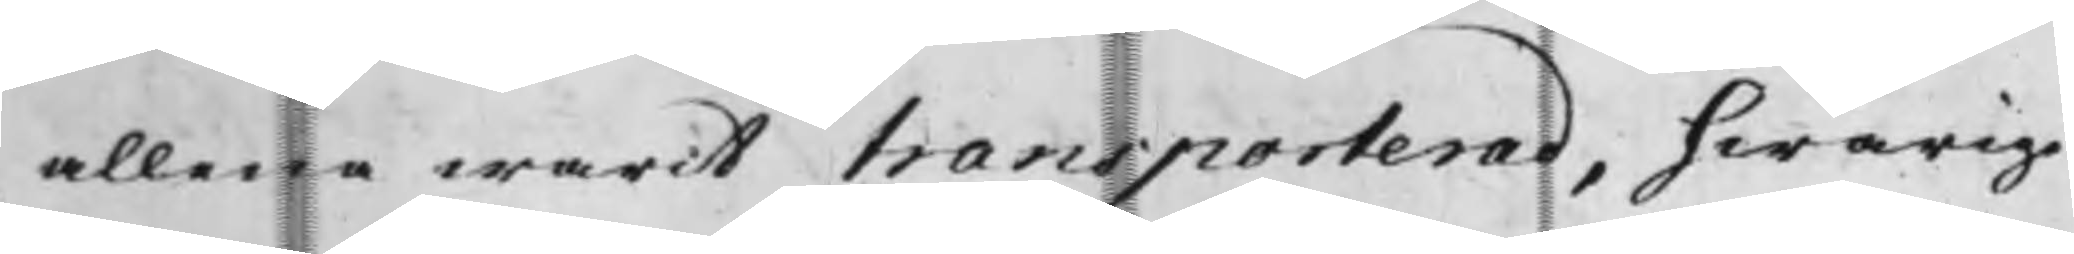allena warit transporterad, hwarige¬
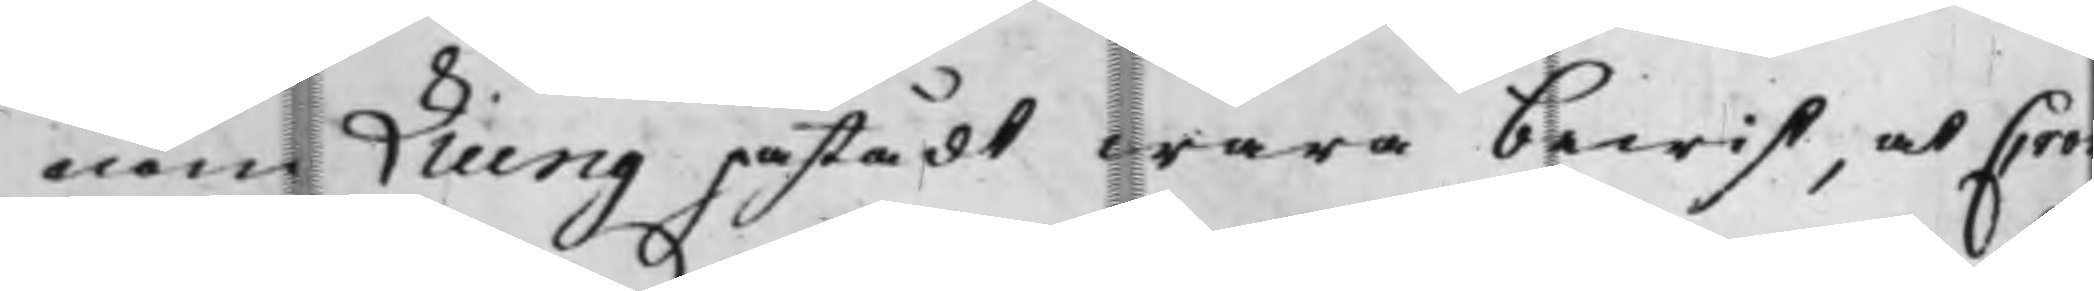nom Liung påstädt wara bewist, at Crom
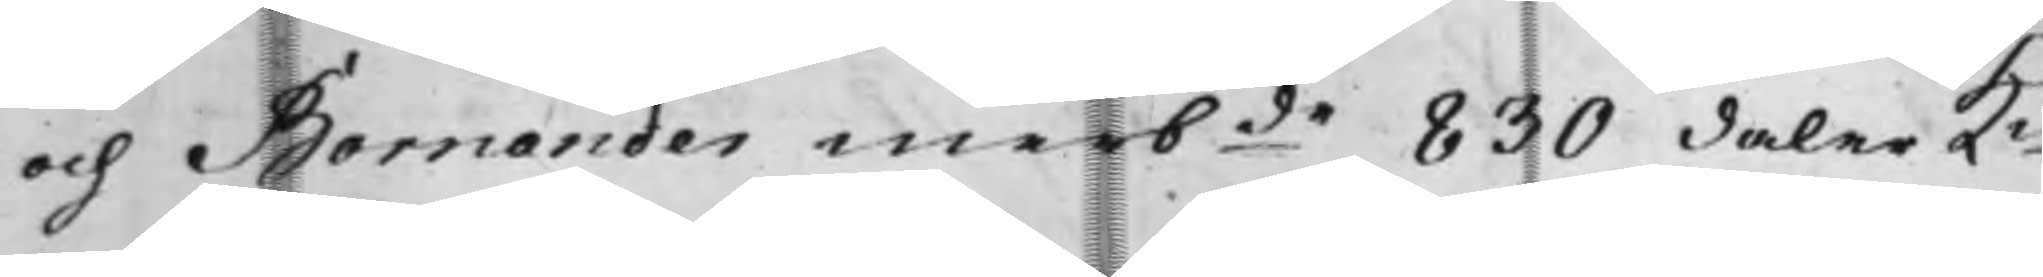och Bornander merbde 830 daler Km
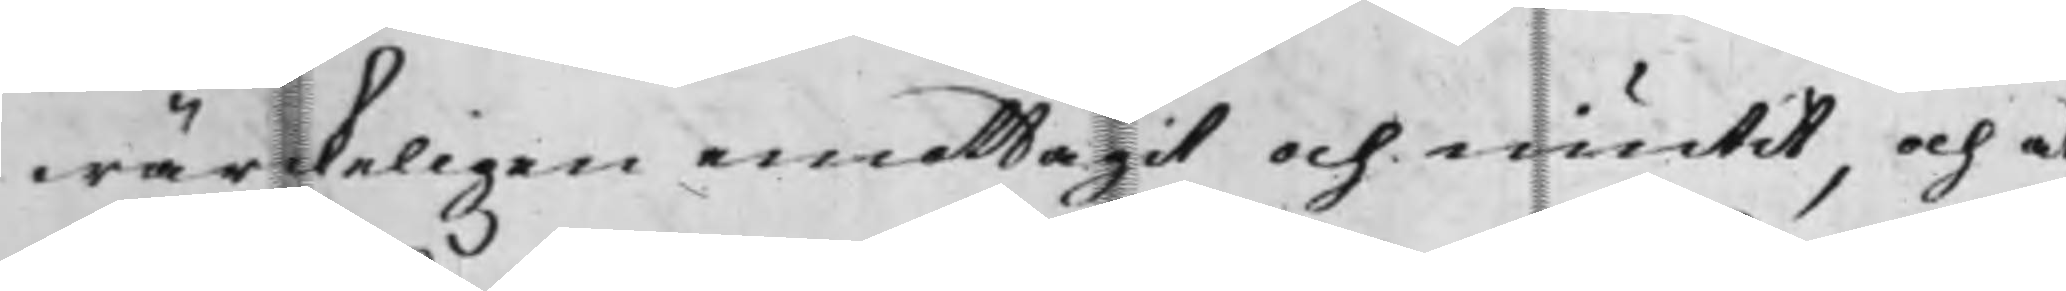wärckeligen emottagit och niutit, och at
